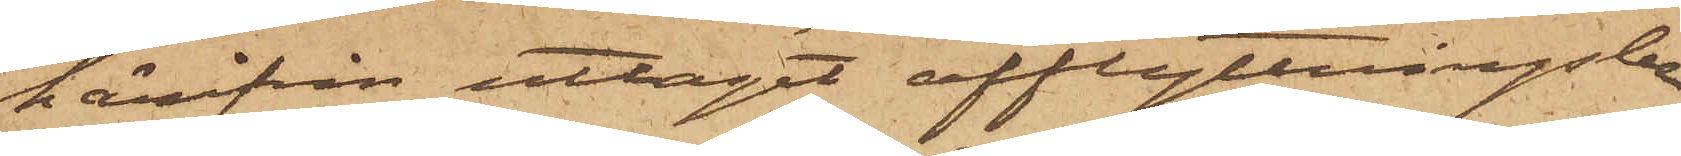härifrån uttagit afflyttningsbe¬
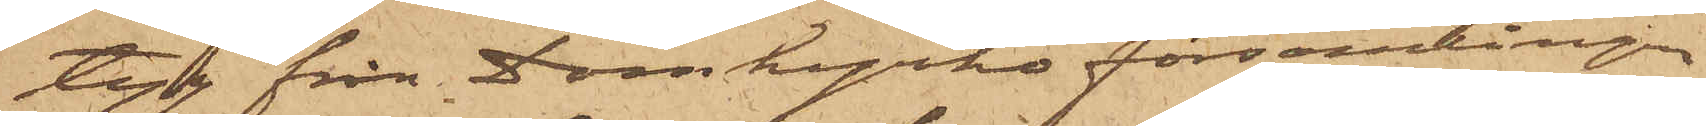tyg från Domkyrkoförsamlingen,
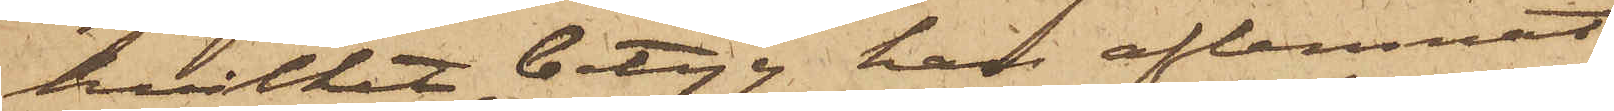hvilket betyg, han aflemnat
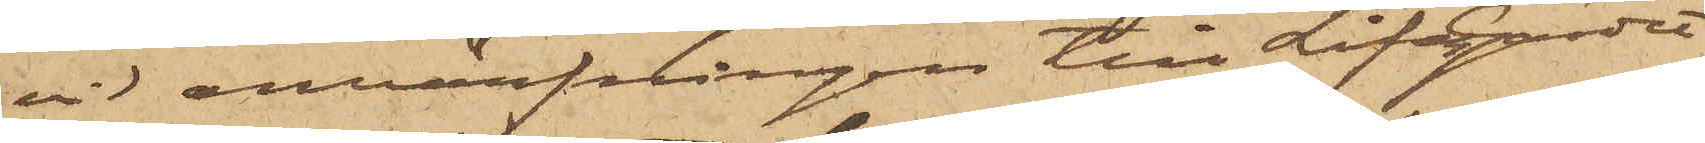vid anvärfningen till LifGardet
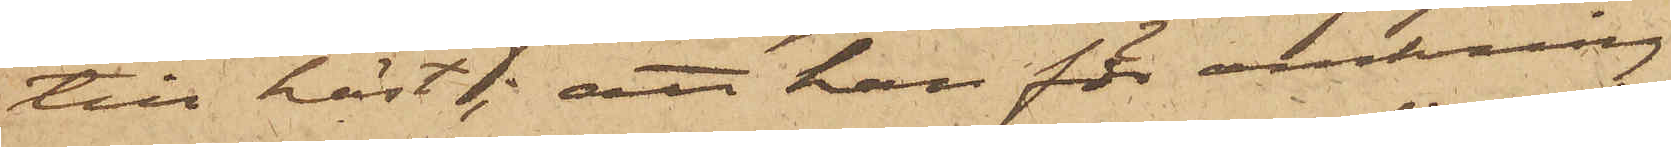till häst; att han för omkring
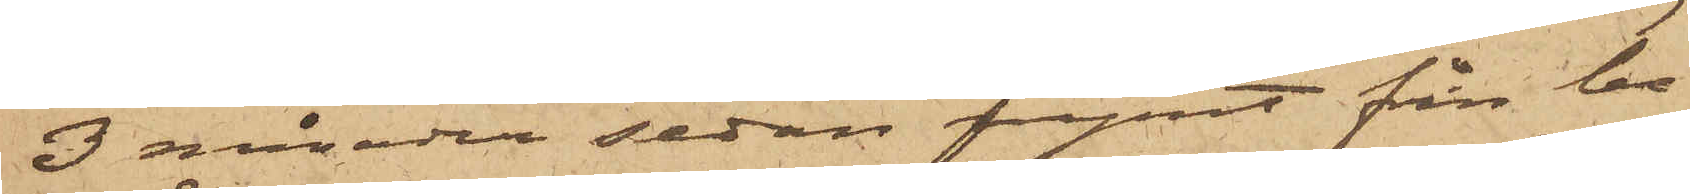3 månader sedan rymt från be¬
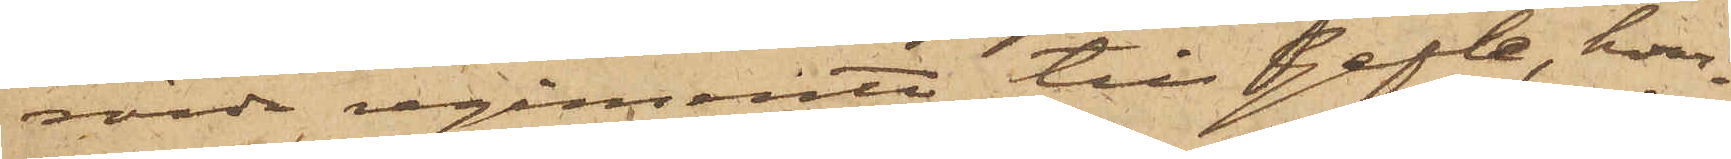rörde regemente till Gefle, hvar¬
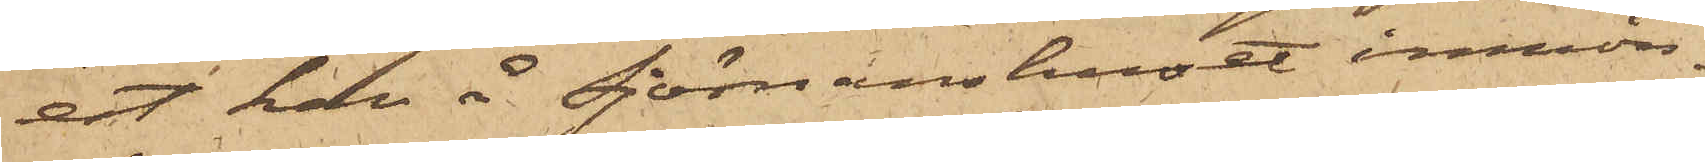est han å Sjömanshuset inmön¬
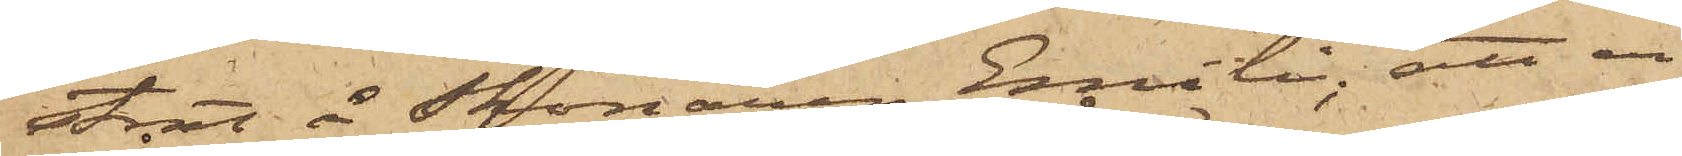strat å Skonaren Emili; att en
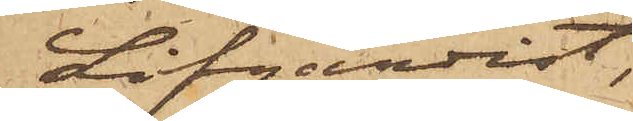Lifgardist,
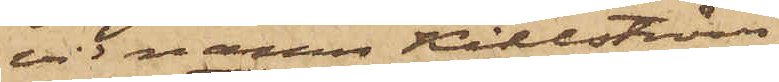vid namn Kihlström,
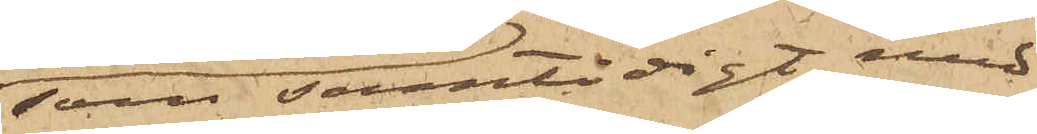som samtidigt med
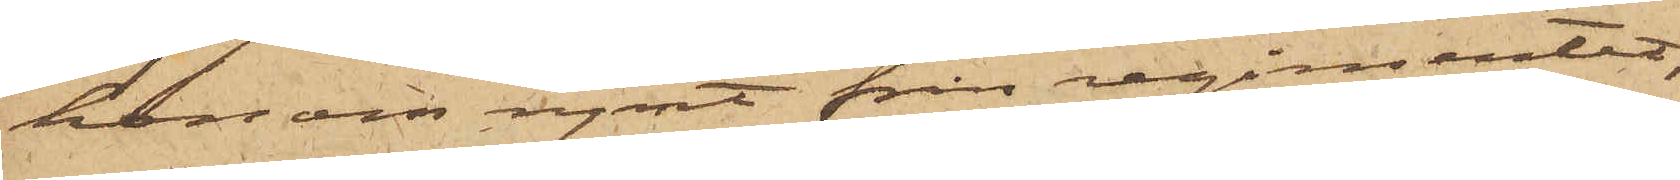honom rymt från regimentet,
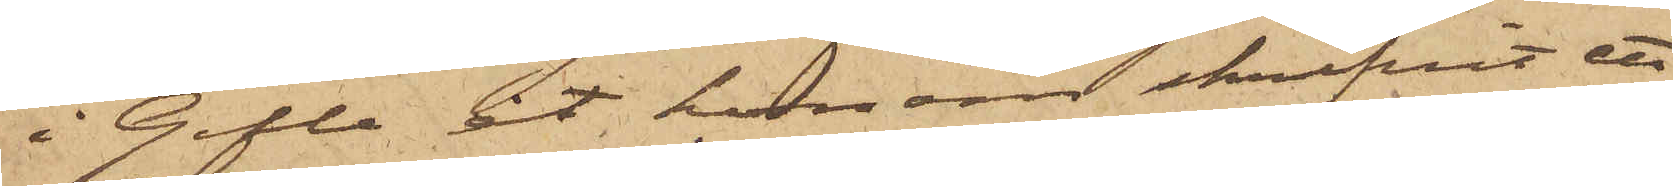i Gefle åt honom skrifvit ett
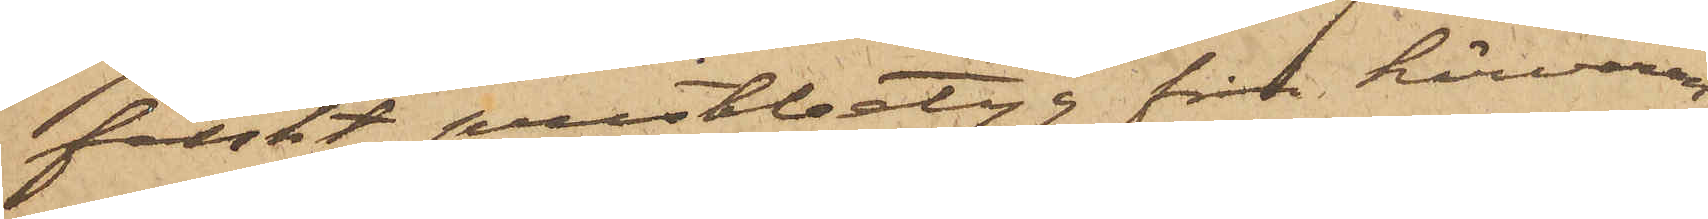falskt prestbetyg från härvaran¬
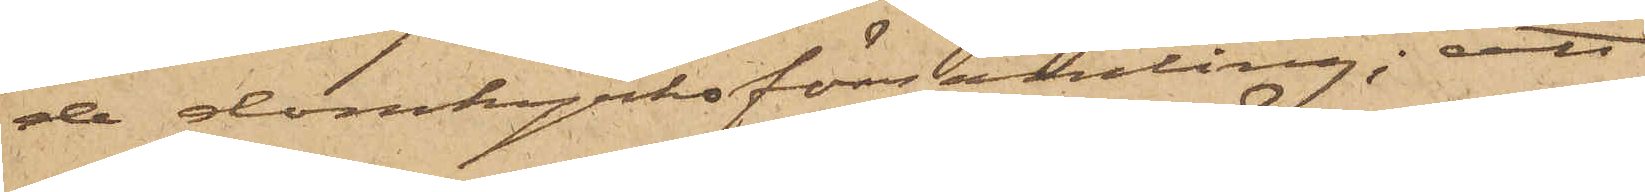de domkyrkoförsamling; att
